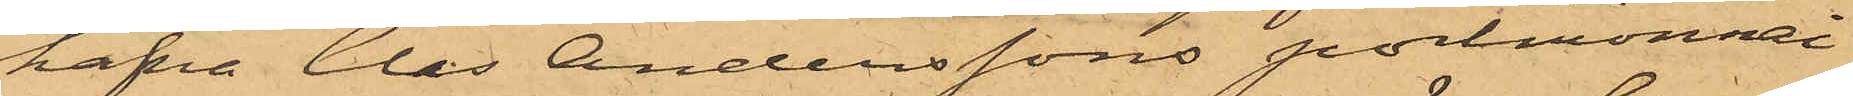hafva Clas Anderssons portmonnai
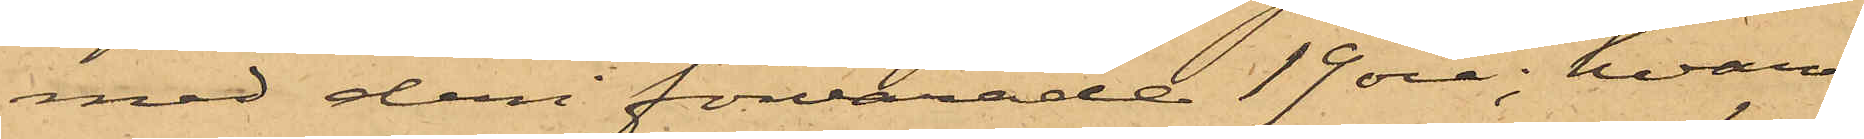med deri förvarade 19 öre; hvar¬
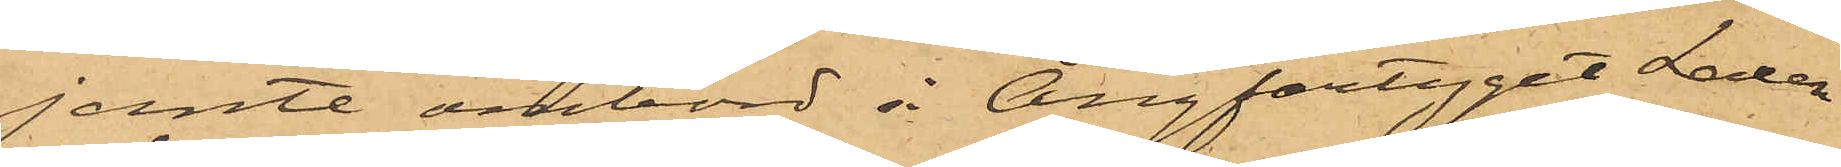jemte ombord å Ångfartyget Laxen
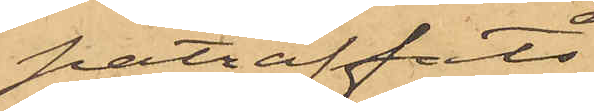påträffats
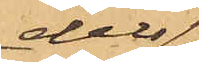dels
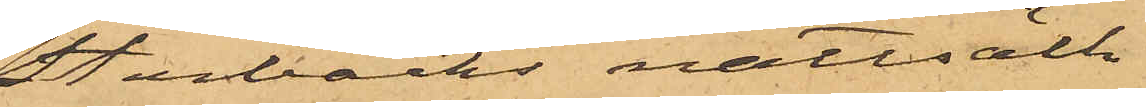Stenbäcks nattsäck
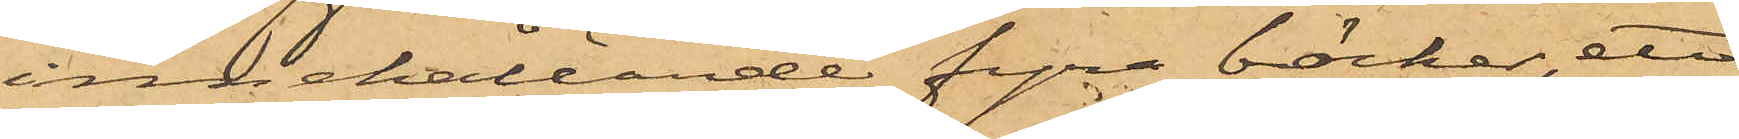innehållande fyra böcker, ett
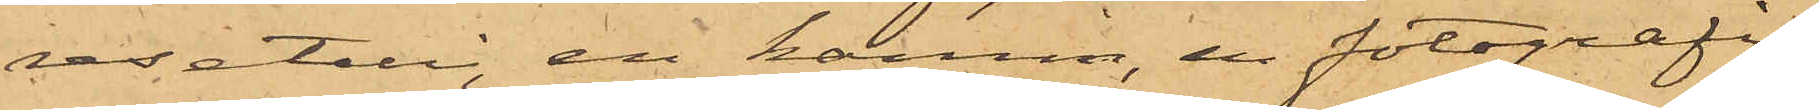resetui, en kamm, en fotografi,
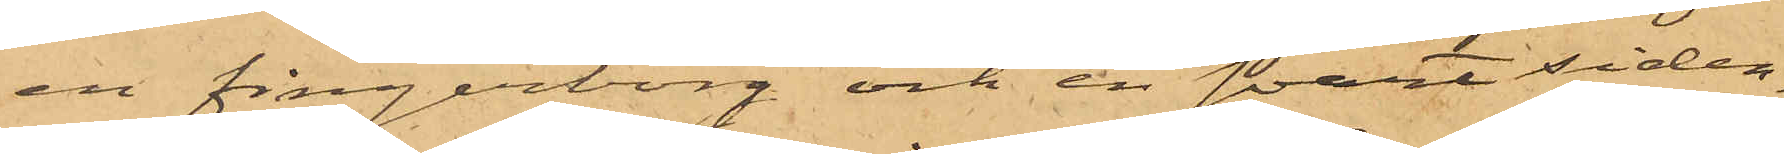en fingerborg och en svart siden¬
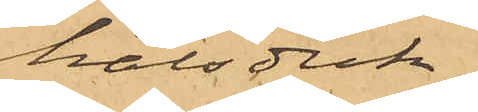halsduk,
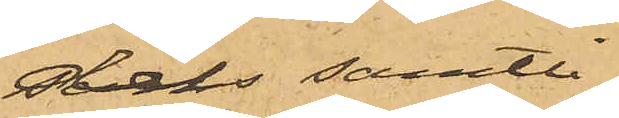dels samtli¬
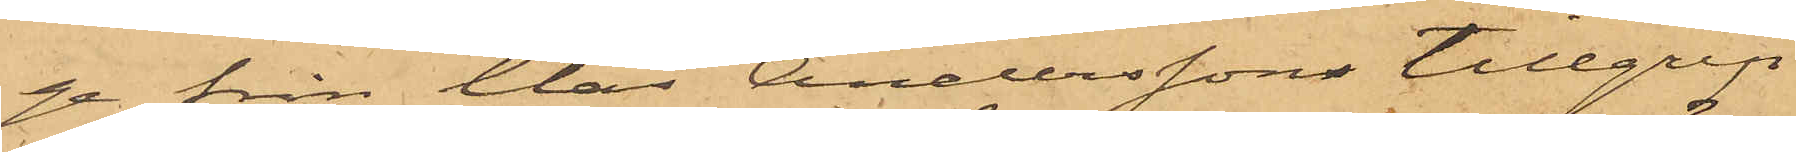ge från Clas Anderssons tillgrip¬
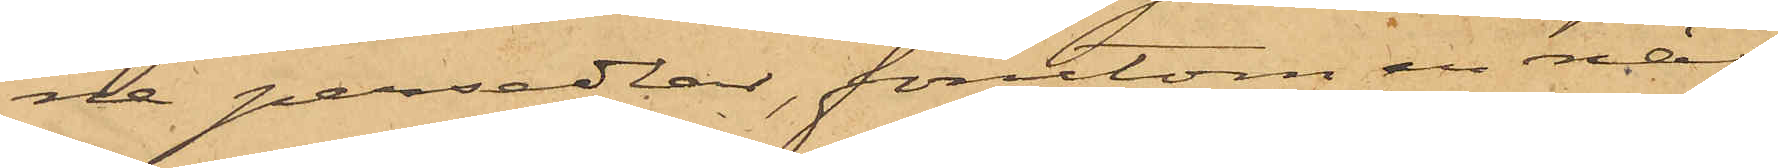ne persedlar, förutom en näs¬
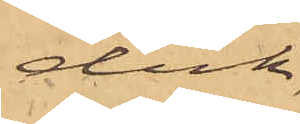duk,
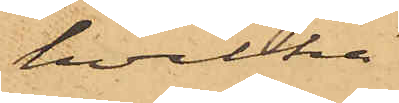hvilka
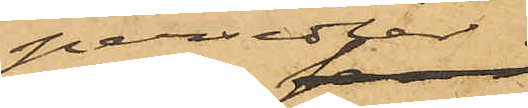persedlar
